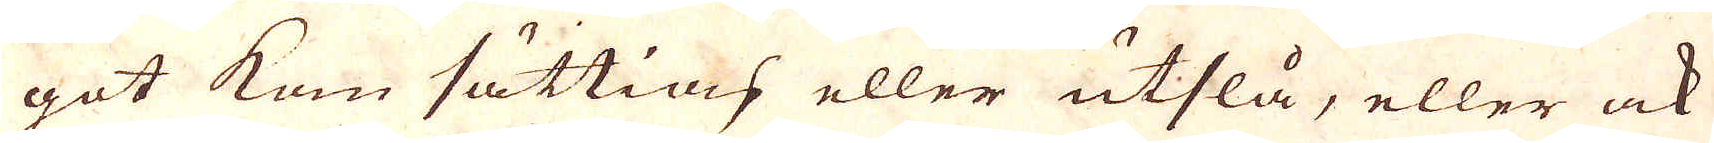got kan sättias eller utslå, eller ock
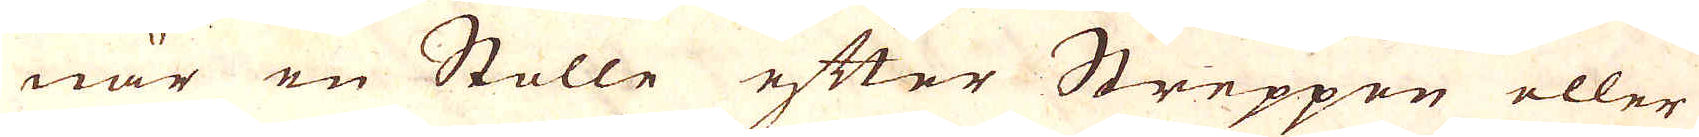när en Stolle efter Streppen eller
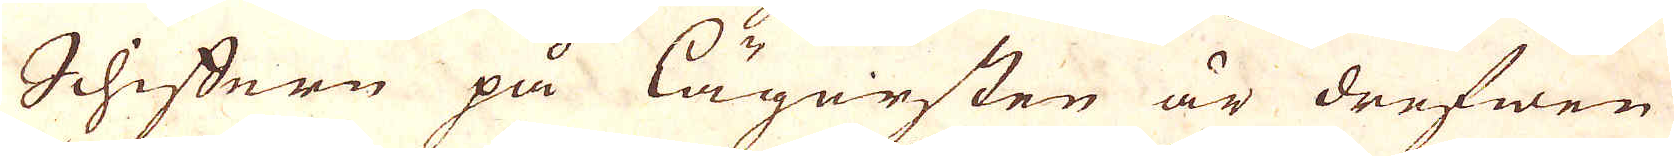Schiffern på lägersten är drefwen
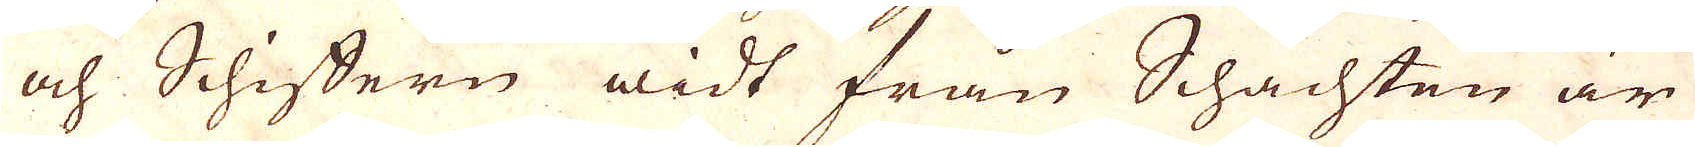och Schiffern widt från Schachten är
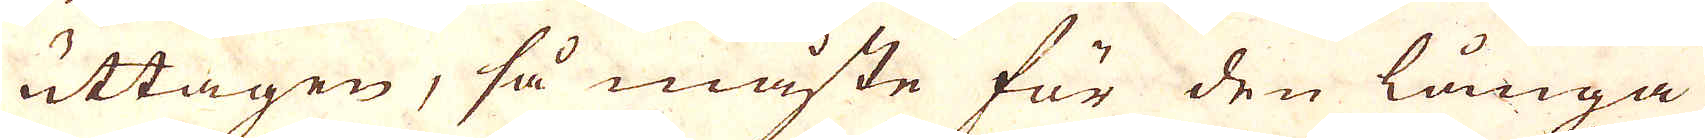uttagen, så måste för den långa
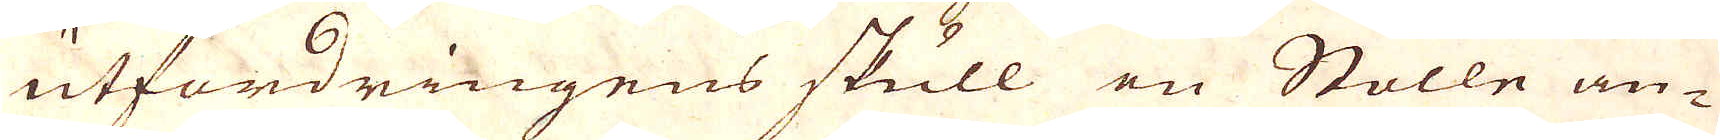utfordringens skull en Stolle an-
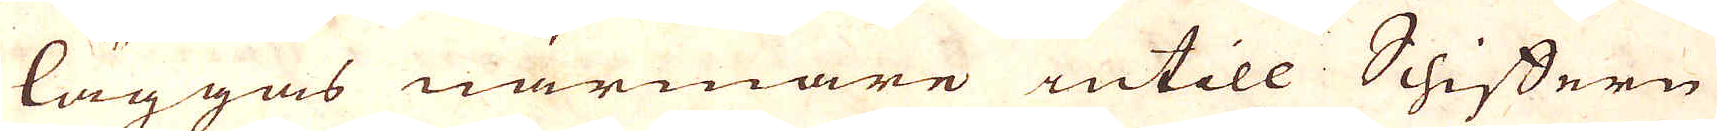läggas närmare intill Schiffern
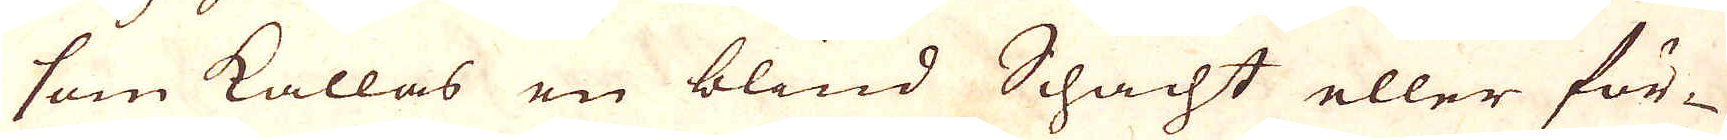som kallas en blind Schacht eller för-
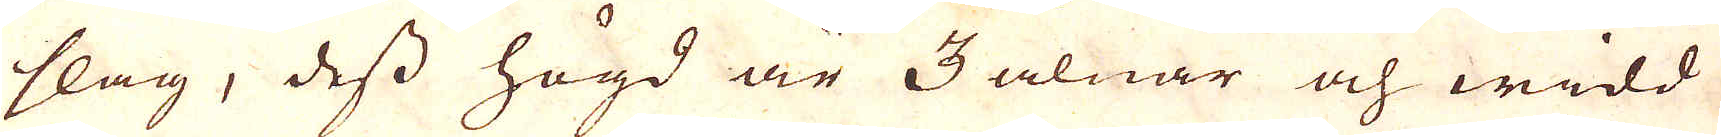slag, dess högd är 3 alnar och widd
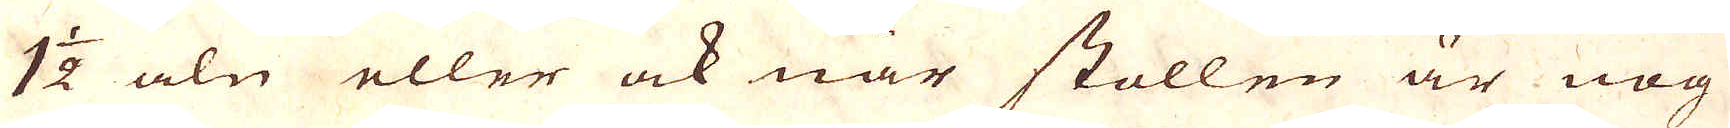1 1/2 aln eller ock när stollen är nog
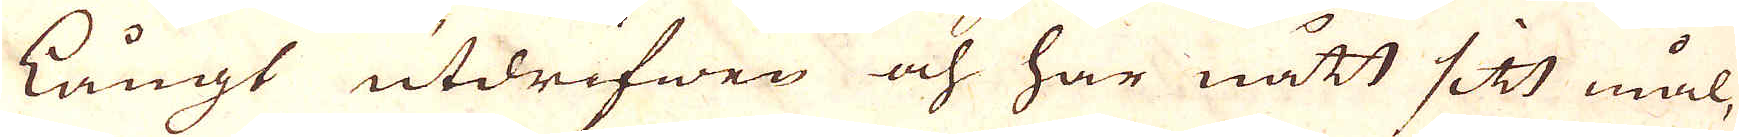långt utdrifwen och har nått sitt mål,
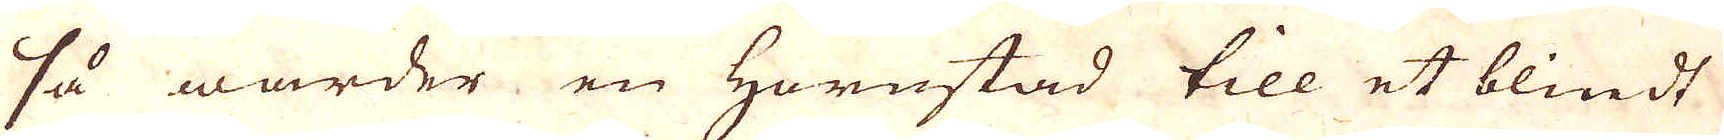så warder en Hornstad till et blindt
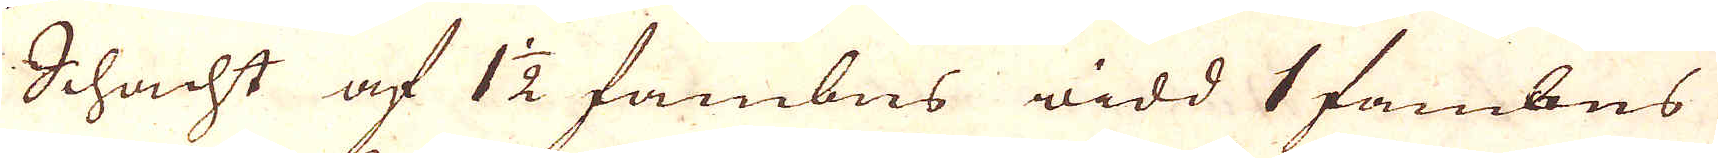Schacht af 1 1/2 fambns widd 1 fambns
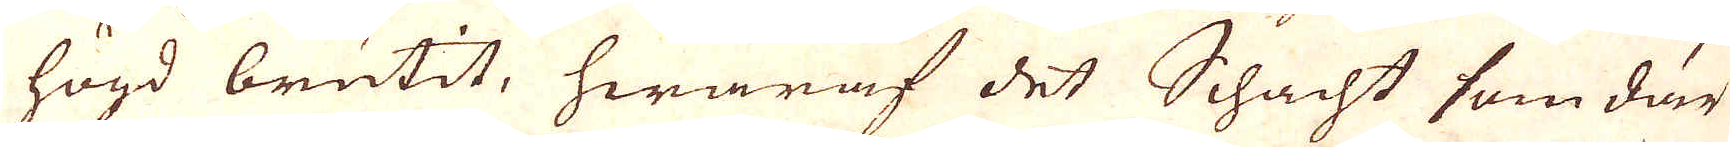högd brutit, hwaraf det Schacht som där
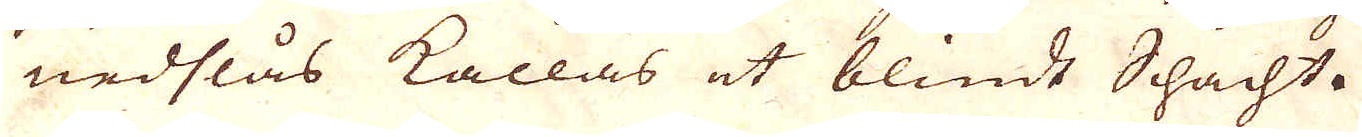nedslås kallas et blinde Shacht.
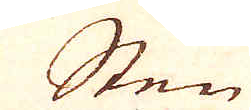Sten
